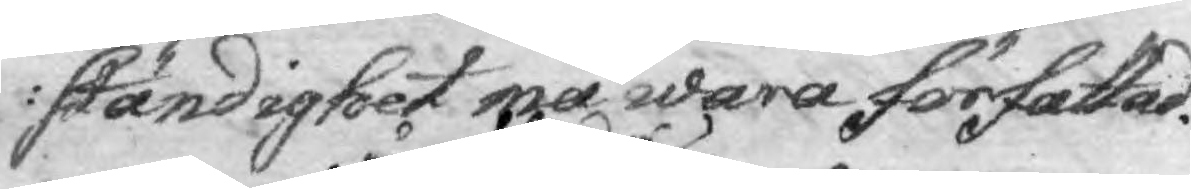ständighet må wara författad.
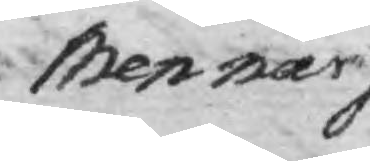Men när någon 
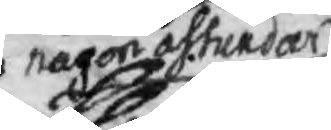någon åstundar
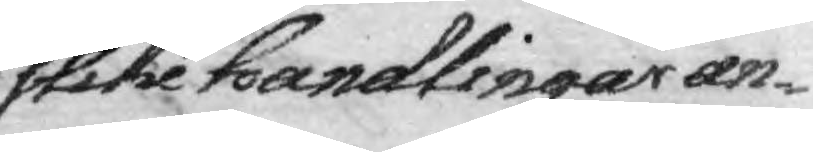slike handlingar an¬
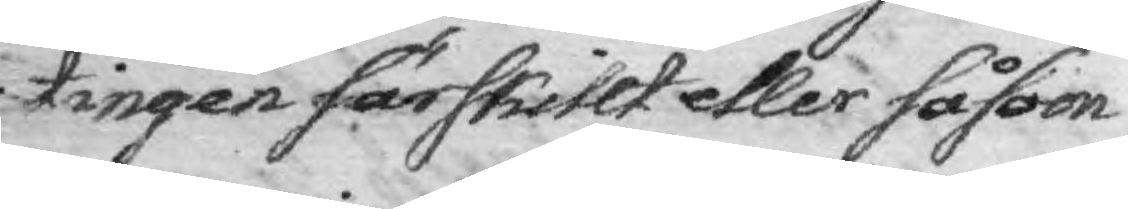tingen särskillt eller såsom
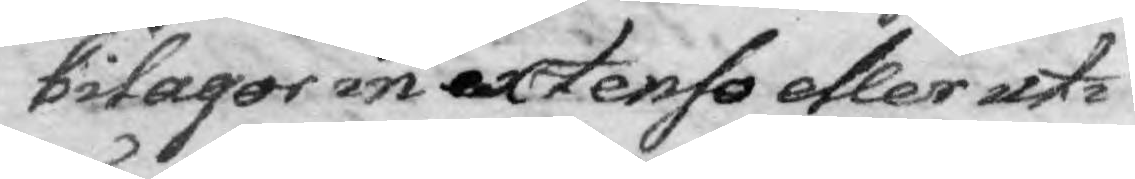bilagor in extenso eller uti
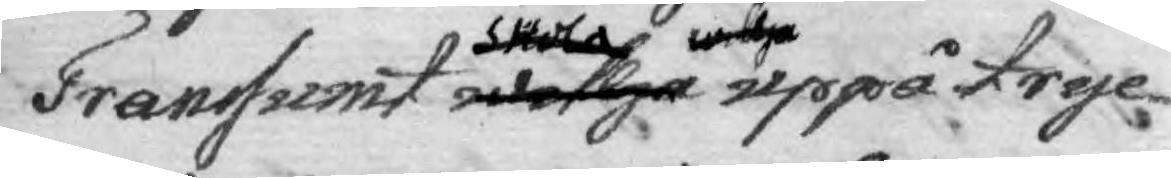Transumt willja uppå tryc¬
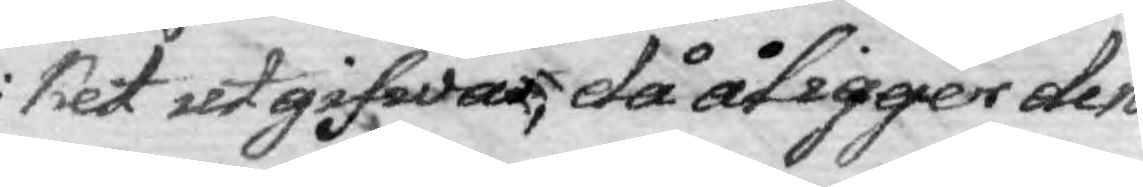ket ut gifwas, då åligger den
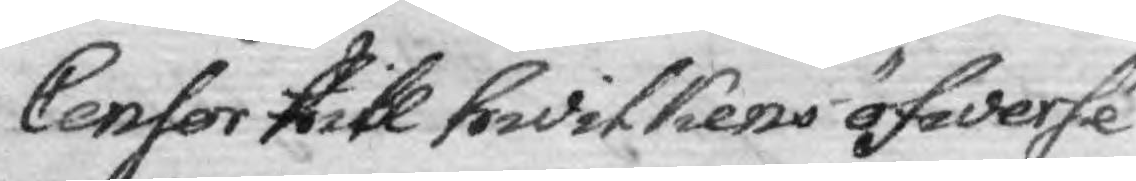Censor till hwlikens öfwersé¬
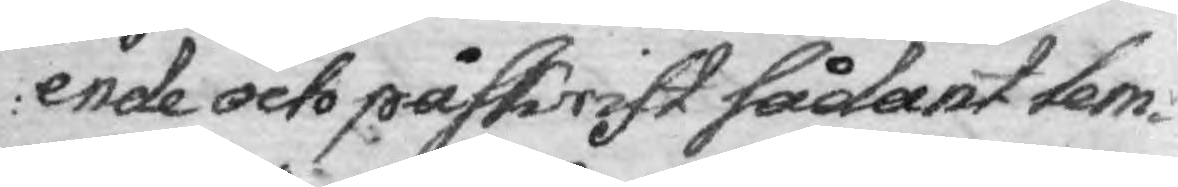ende och påskrift sådant lem¬
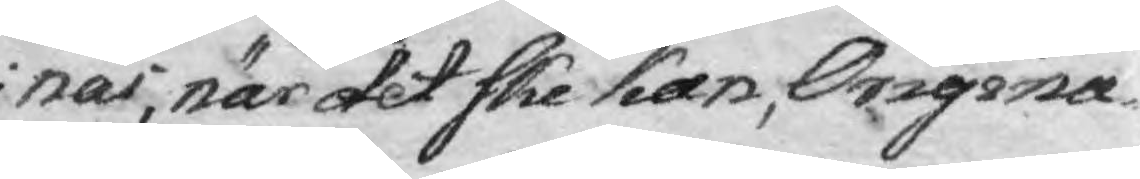nas, när det ske kan, Origina¬
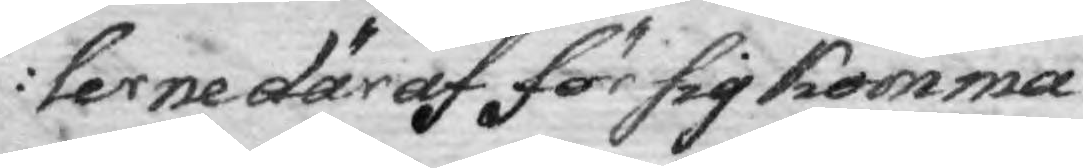lerne däraf för sig komma
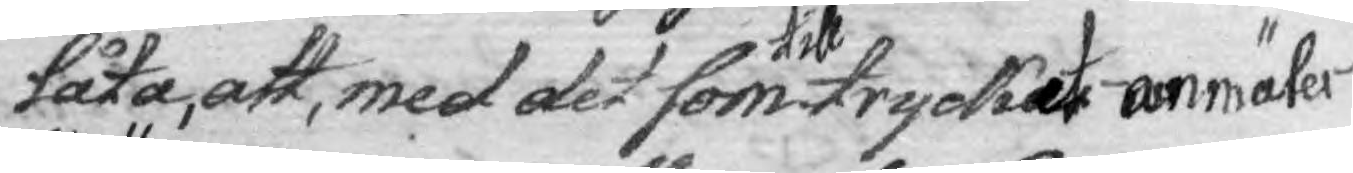låta, att, med det som till trycket anmäler
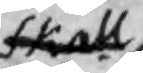skall
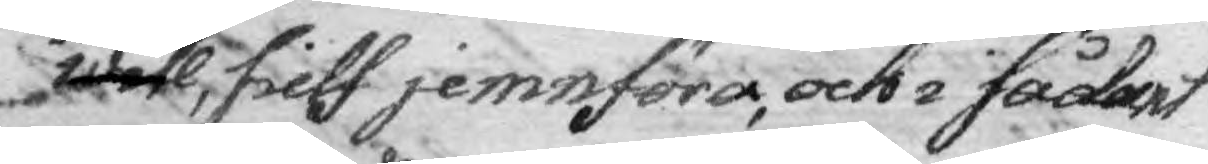will, sielf jemnföra, och i sådant
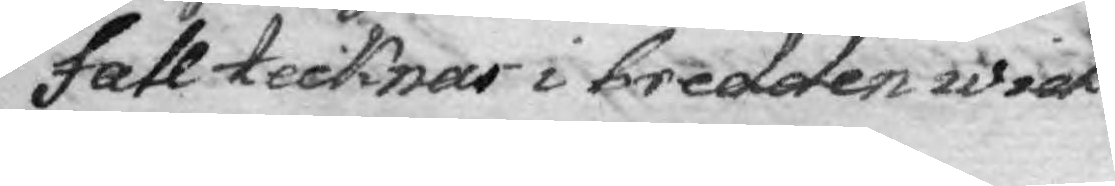fall tecknar i bedden wid
